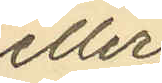eller
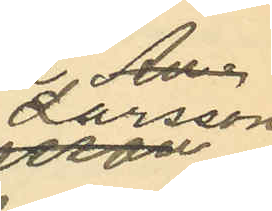Larsson
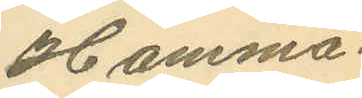Hamma¬
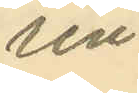rén.
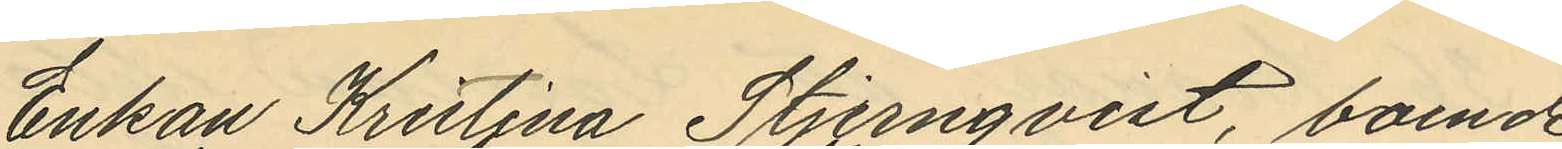Enkan Kristina Stjernqvist, boende
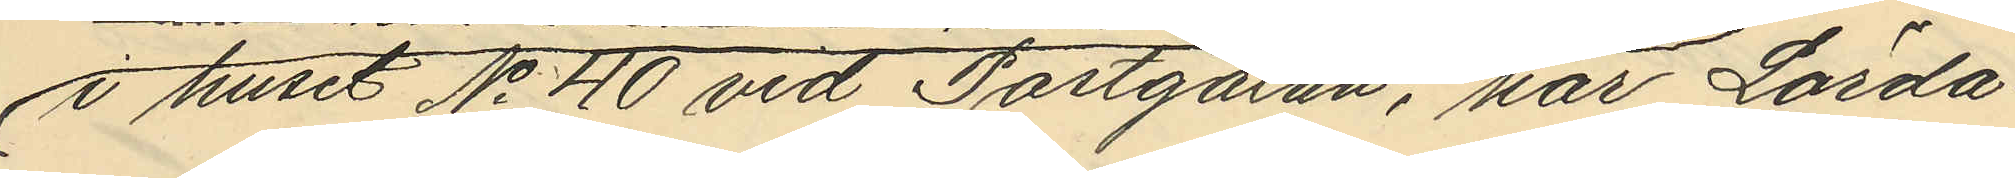i huset No 40 vid Postgatan, har Lörda¬
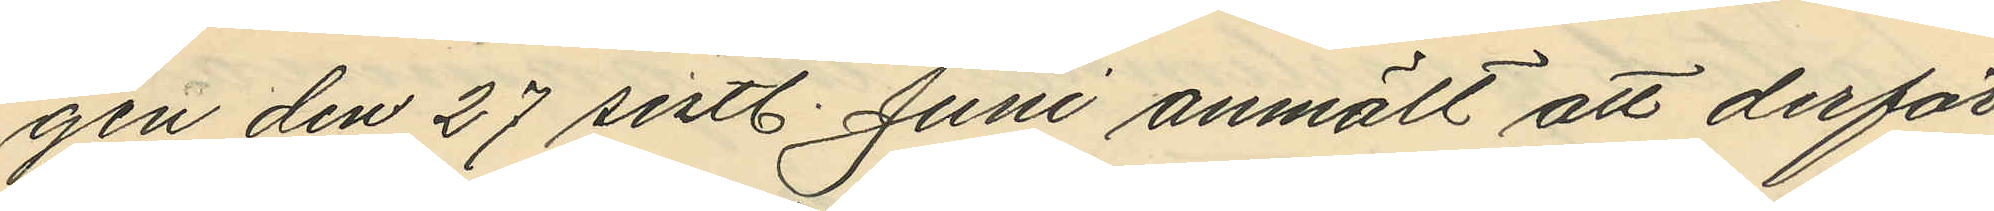gen den 27 sistl. Juni anmält att derför
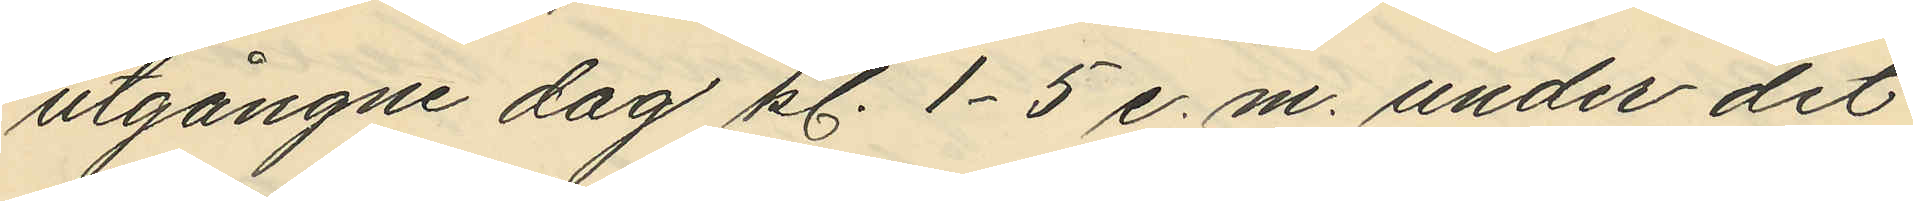utgångne dag kl. 1-5 e.m. under det
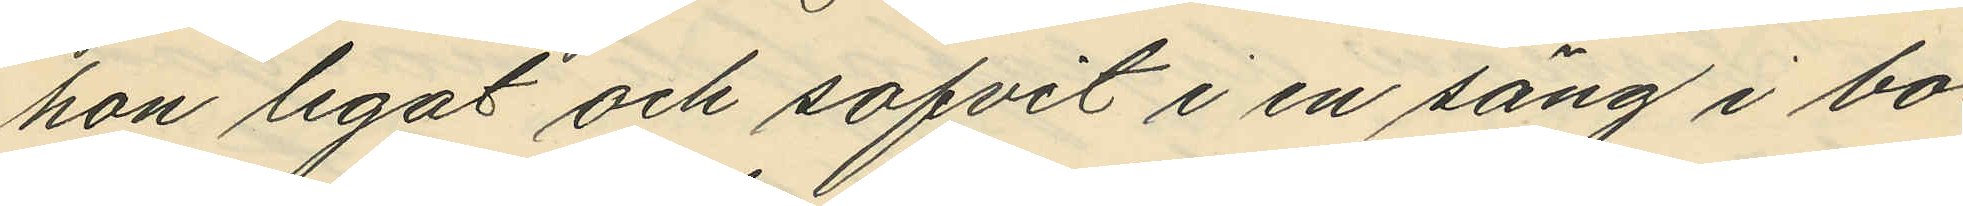hon legat och sofvit i en säng i bo¬
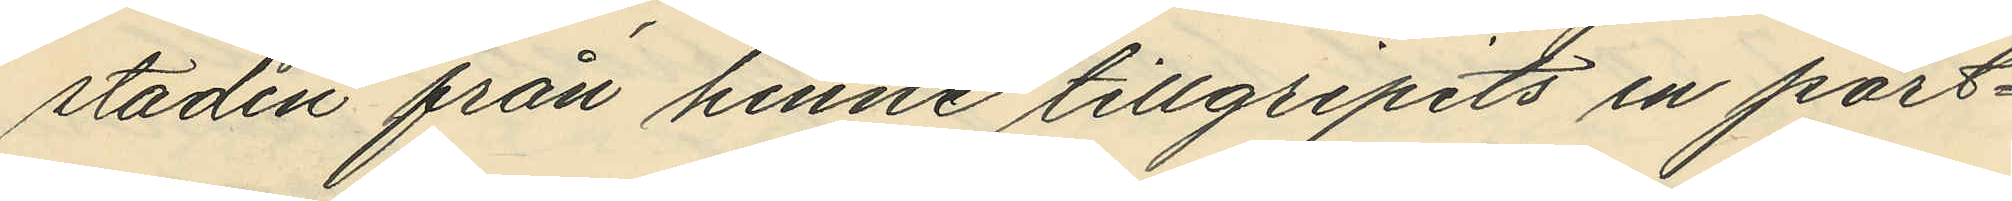staden från henne tillgripits en port¬
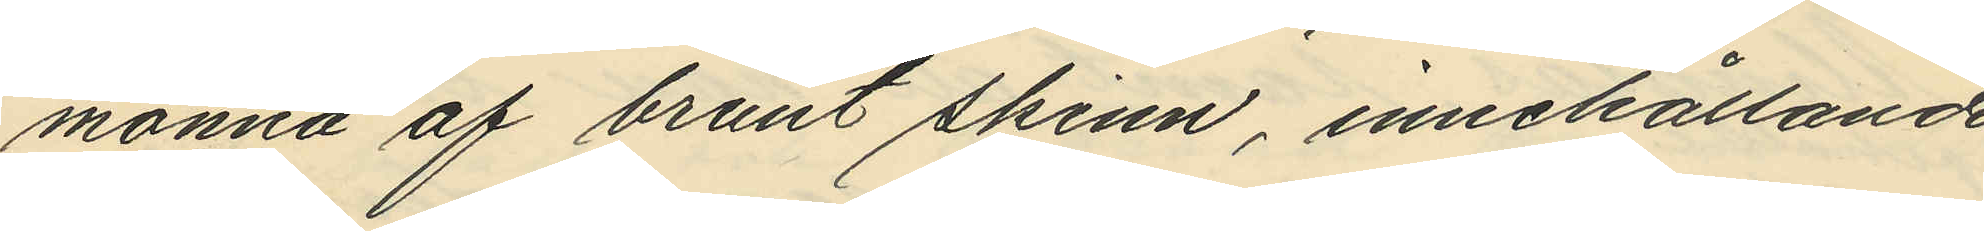monnä af brunt skinn, innehållande
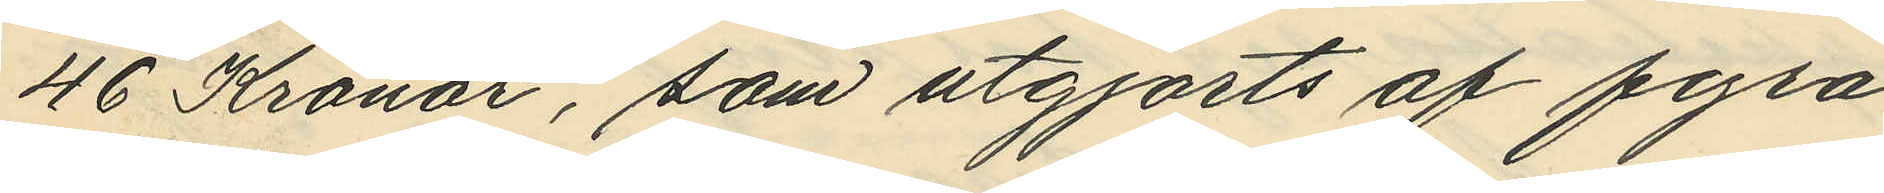46 Kronor, som utgjorts af fyra
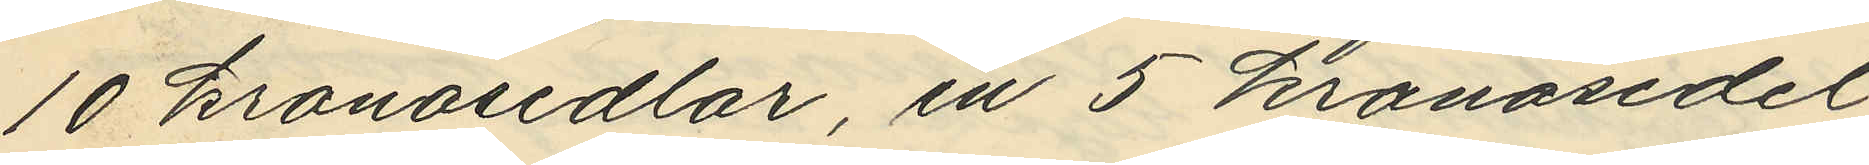10 kronosedlar, en 5 kronosedel
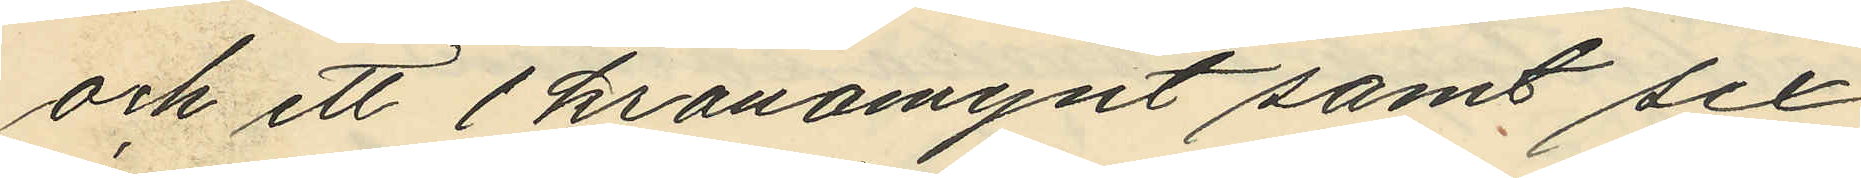och ett 1 kronomynt samt sex
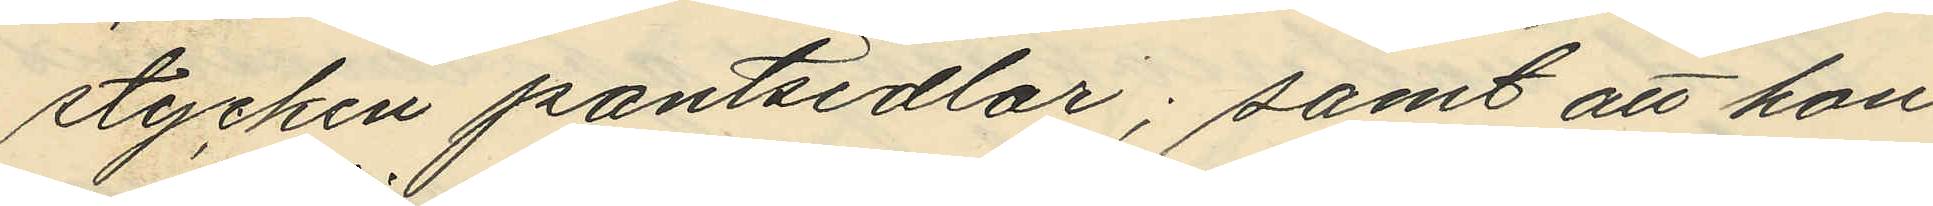stycken pantsedlar; samt att hon
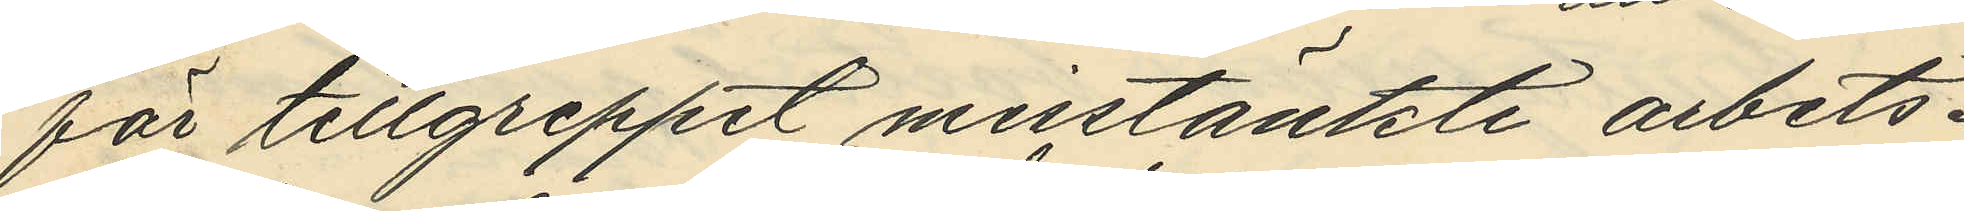för tillgreppet misstänkte arbets¬
